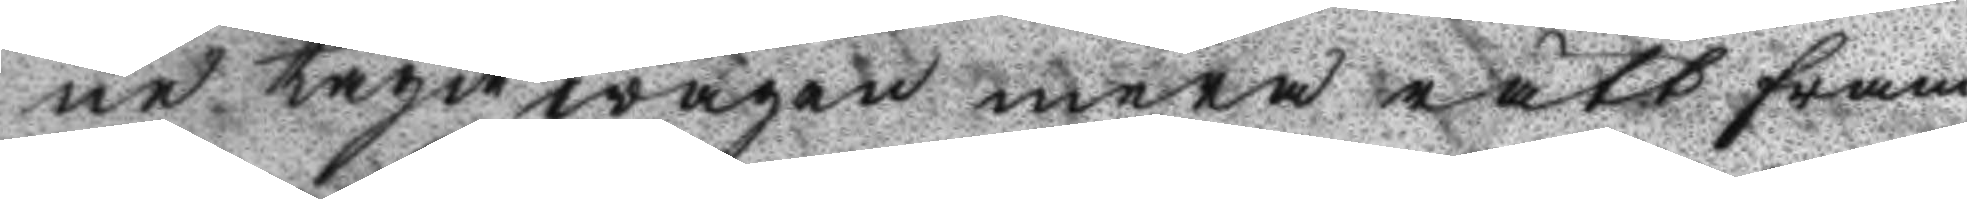ne tagit wägen mera rätt fram.
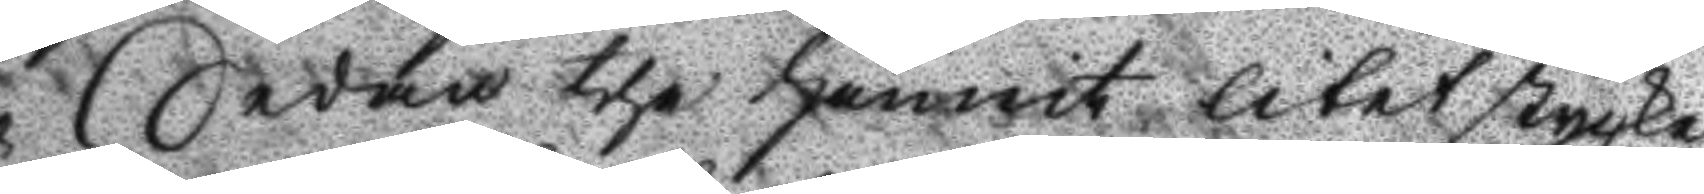Sedan the hunnit litet stycke
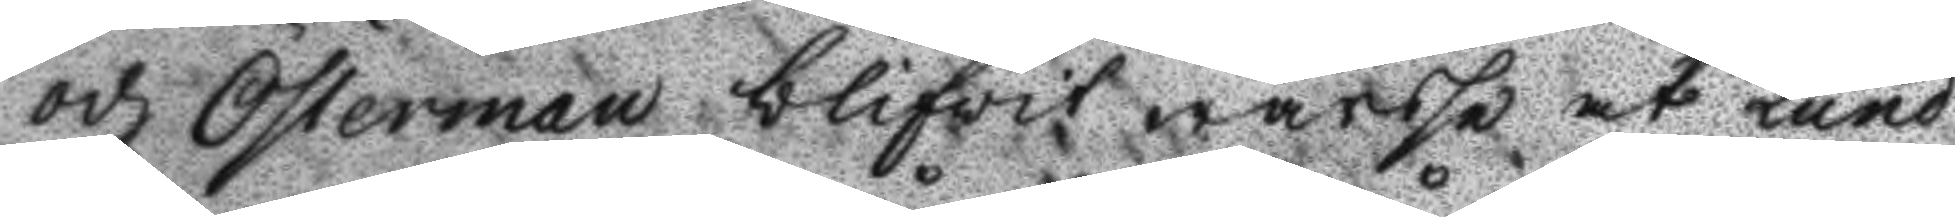och Österman blifvit warse at Lund
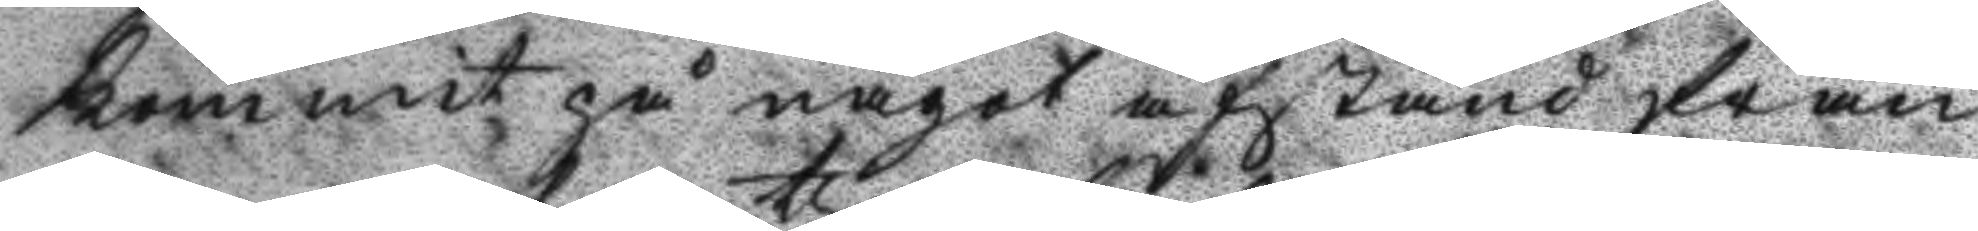kommit på något afstånd från
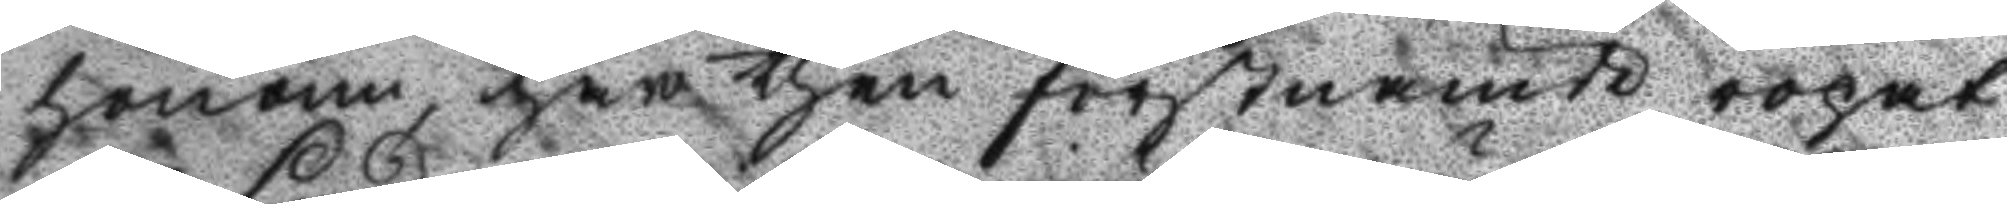honom har then sörstnämde ropat
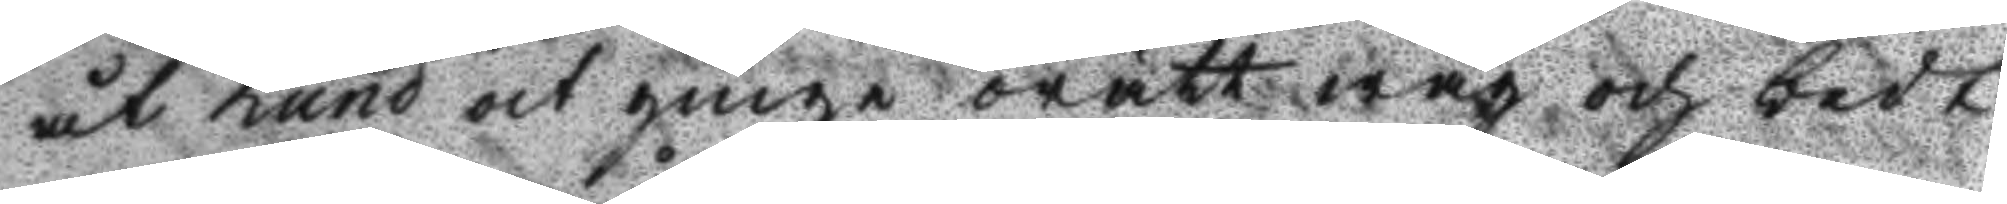åt Lund at ginge orätt wäg och bedt
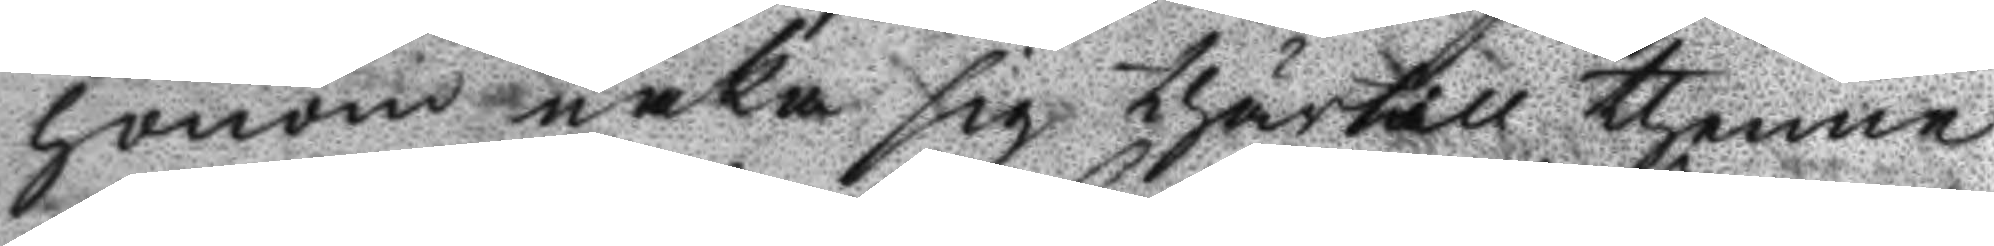honom råka sig thärtill thenne
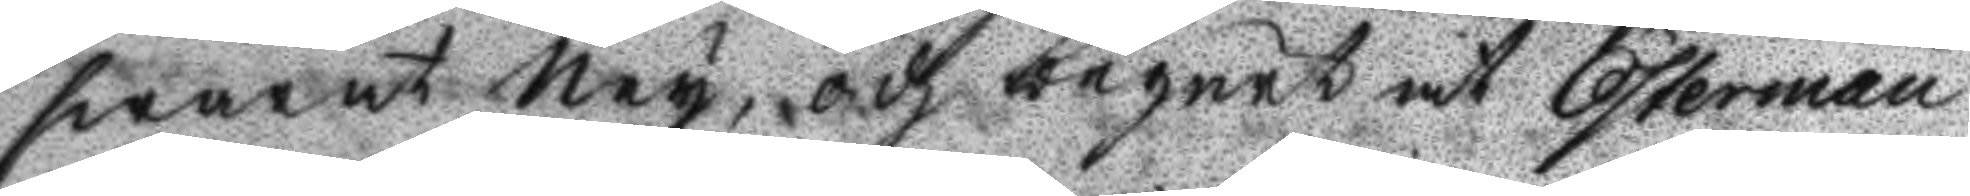swarat Ney, och begärt at Österman
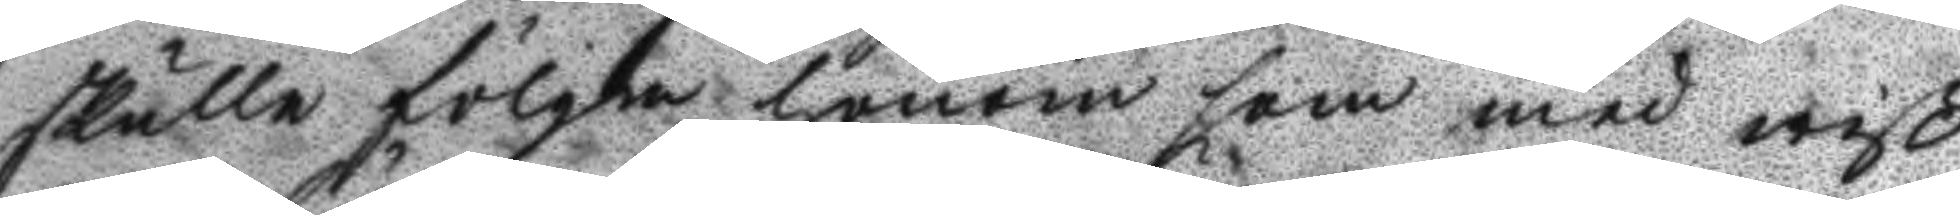skulle följa honom som med wiß¬
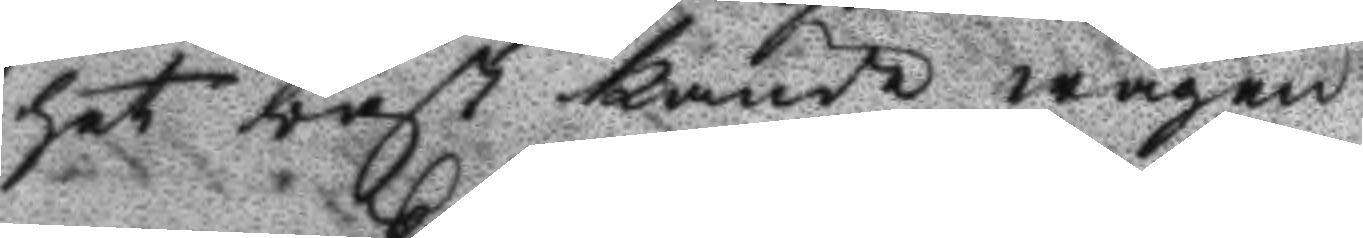het bäst kände wägen.
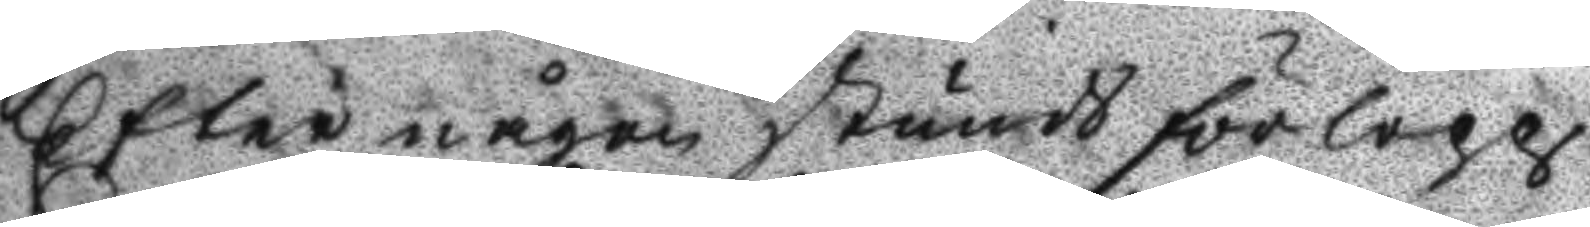Efter någon stunds förlopp
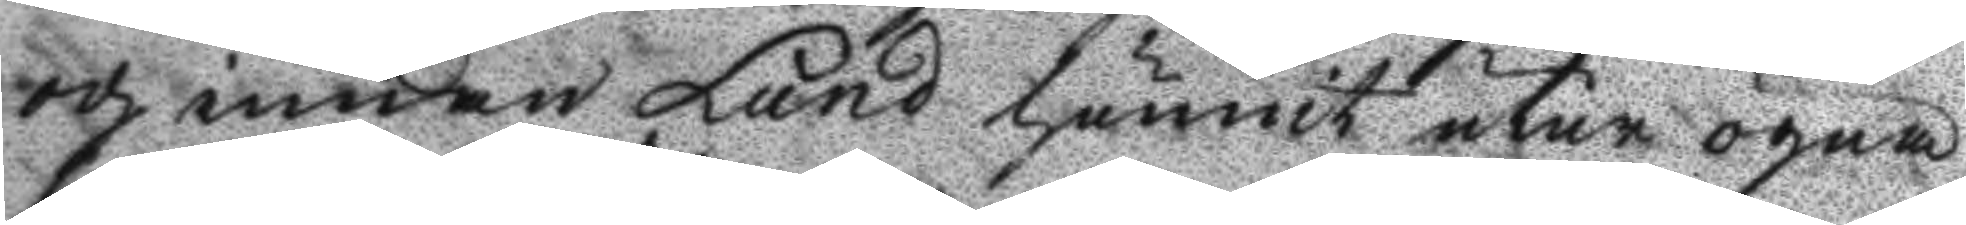och emedan Lund hunit utur ögna
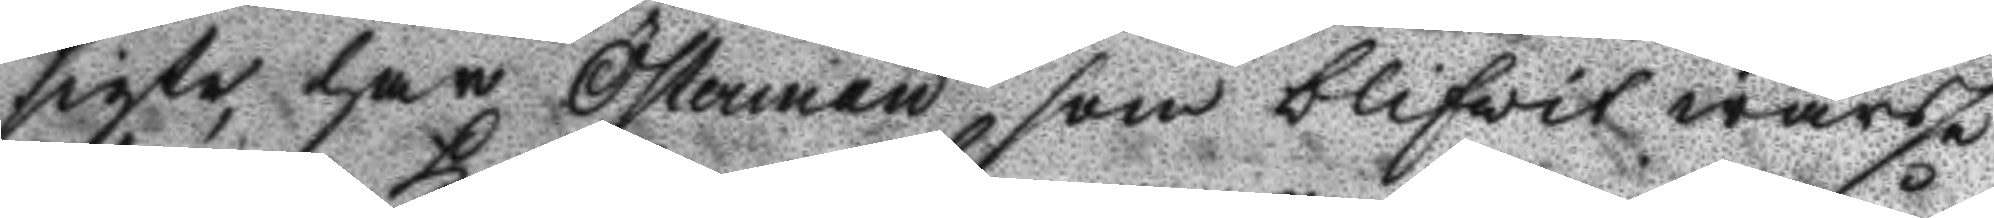sigte har Österman som blifwit warse
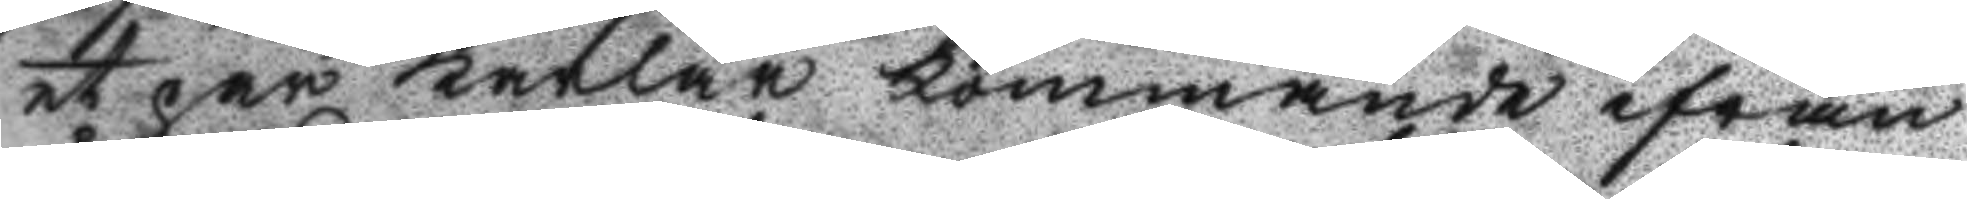et par karlar kommande ifrån
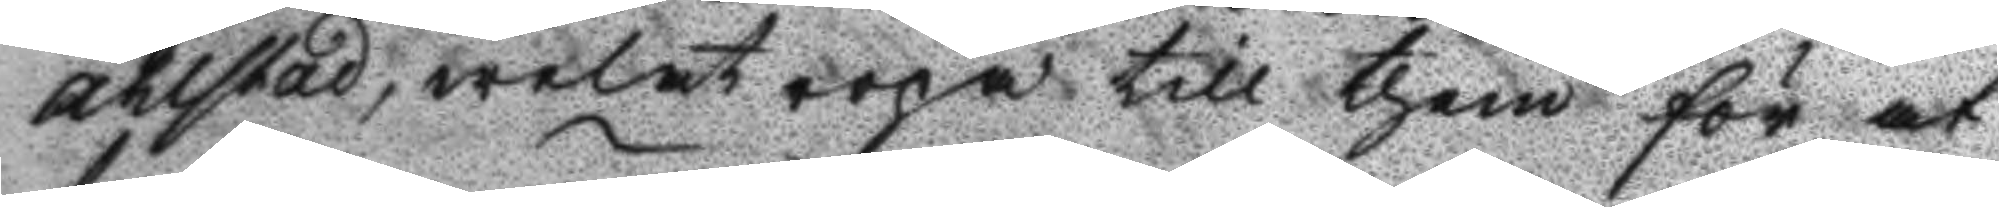Åhlstad, welat ropa till them för at
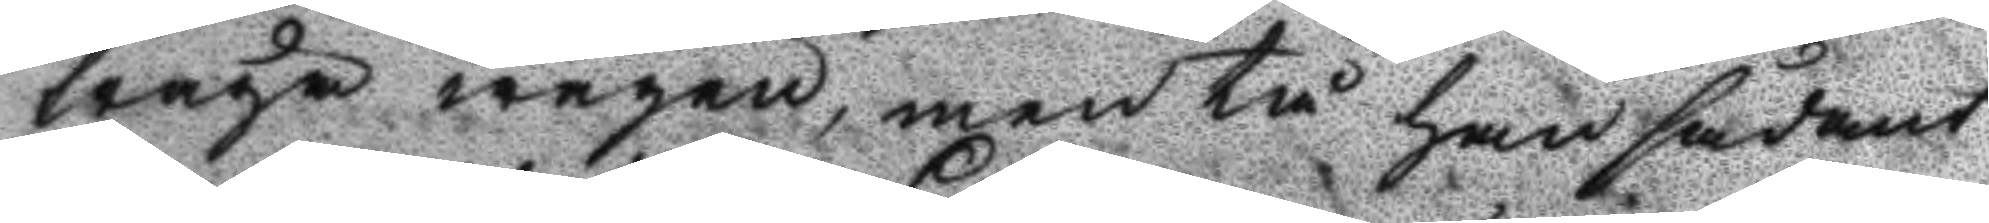fråga wägen, men tå han sådant
